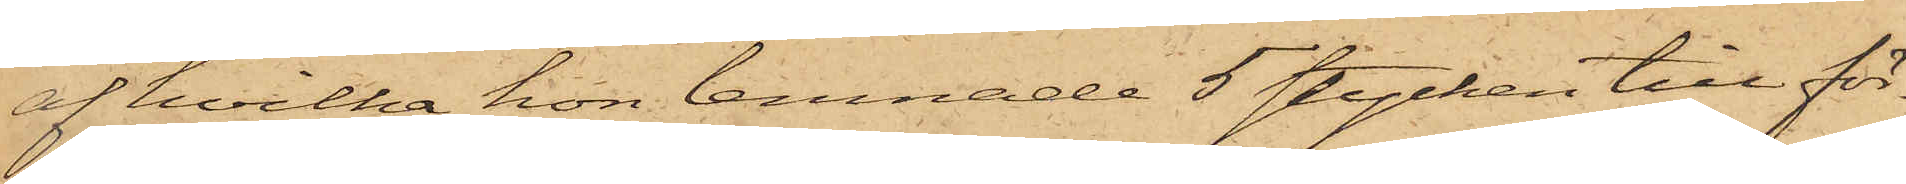af hvilka hon lemnade 5 stycken till för¬
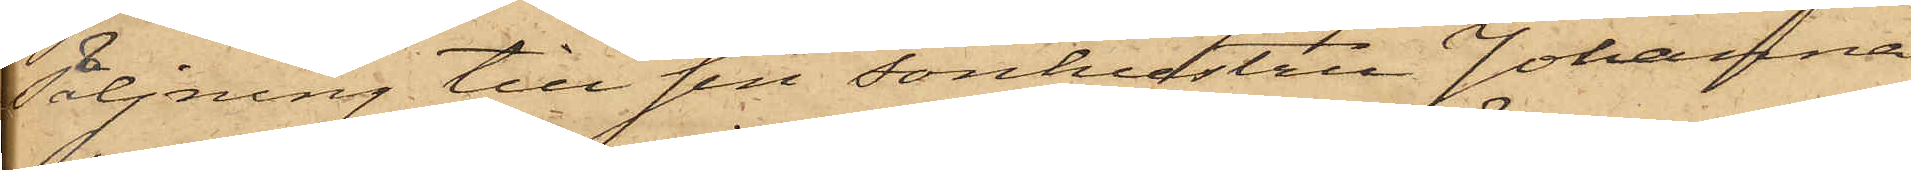säljning till sin sonhustru Johanna
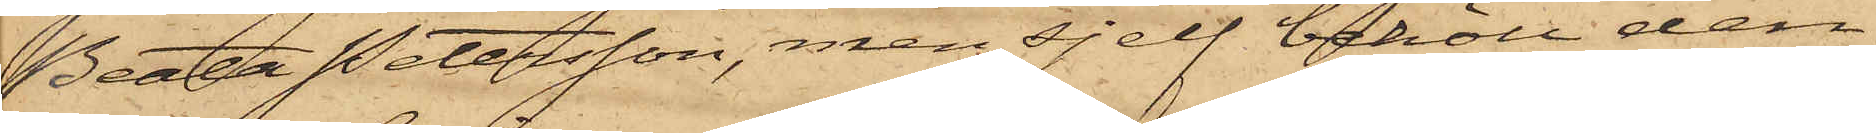Beata Petersson, men sjelf behöll den
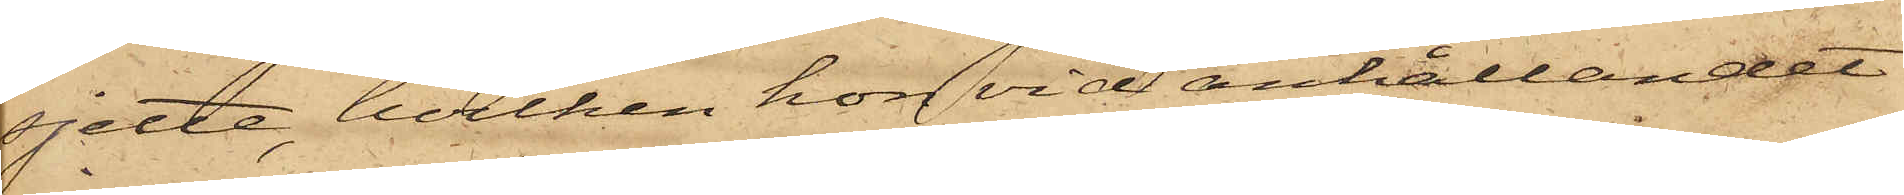sjette, hvilken hon vid anhållandet
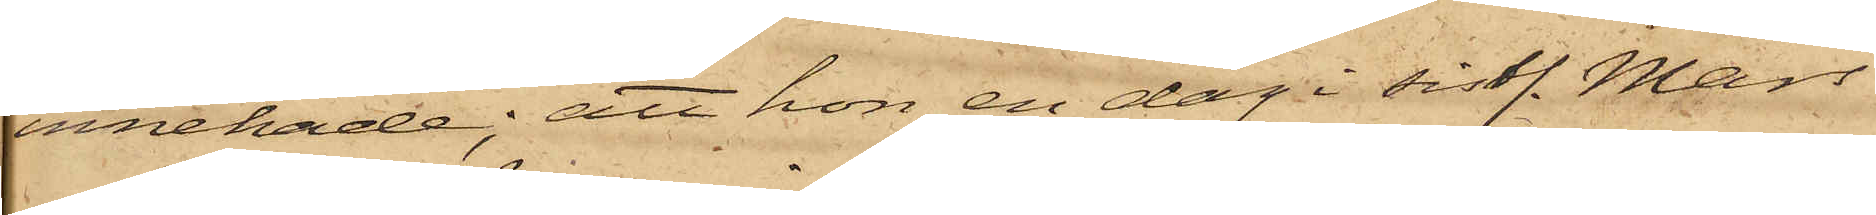innehade; att hon en dag i sistl. Mars
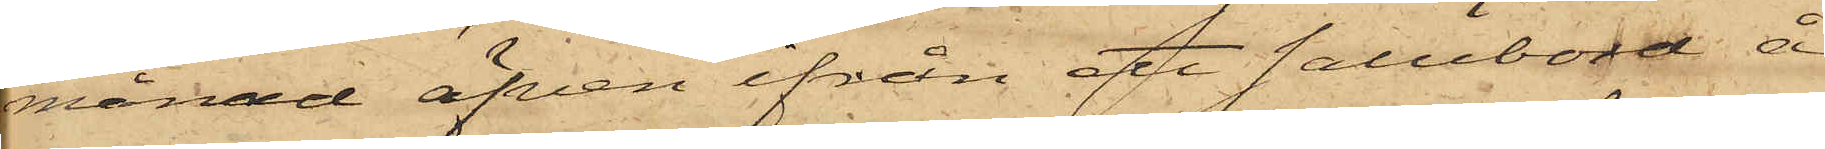månad äfven ifrån ett salubord å
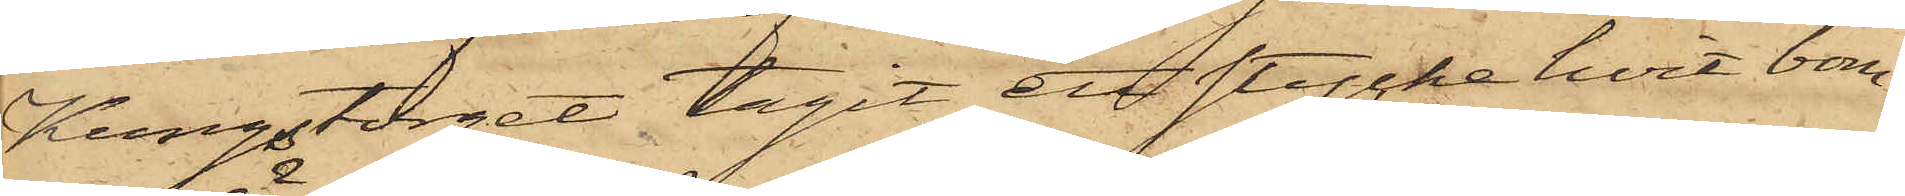Kungstorget tagit en stycke hvit bom¬
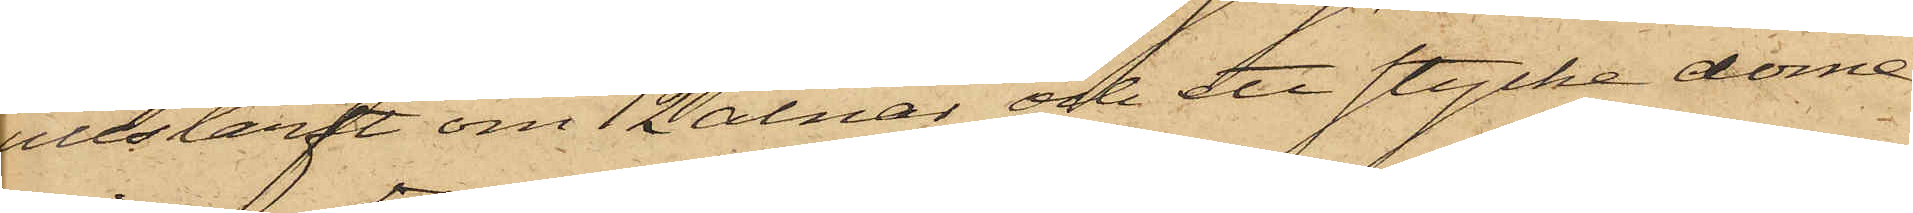ullslärft om 12 alnar och ett stycke dome¬
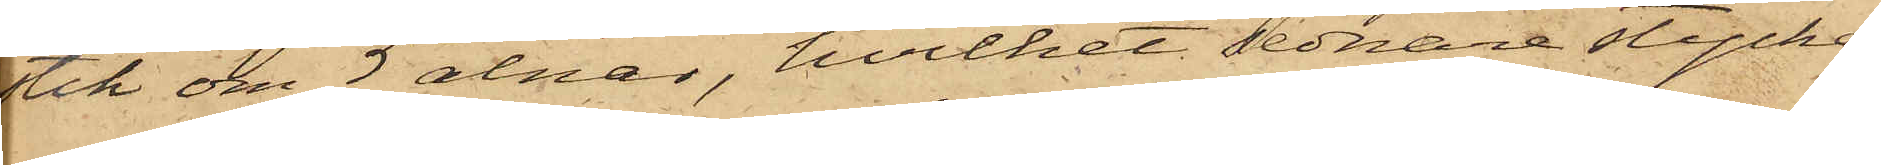stik om 5 alnar, hvilket sednare stycke
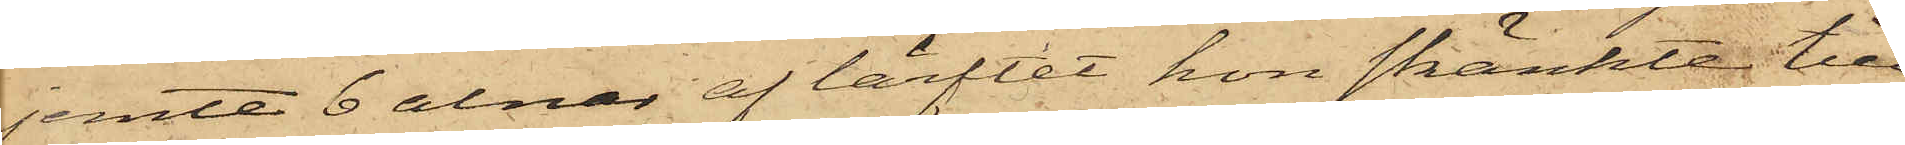jemte 6 alnar af lärftet hon skänkte till
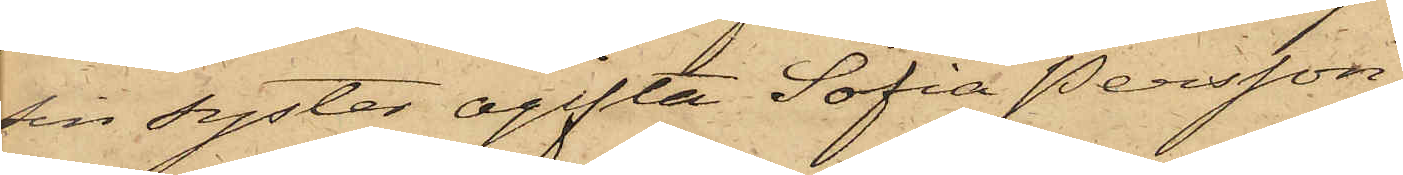sin syster ogifta Sofia Persson;
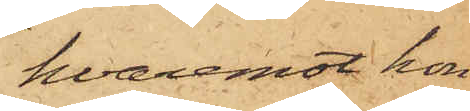hvaremot hon
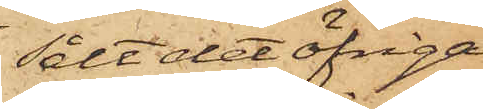sålt det öfriga
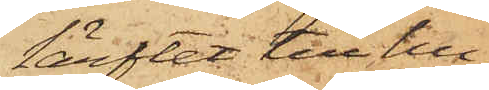lärftet till hu¬
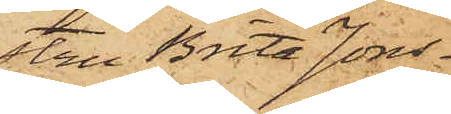stru Brita Jons¬
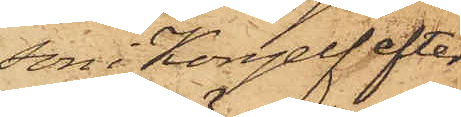son i Kongelf efter
